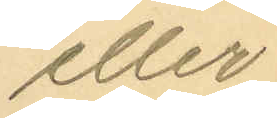eller
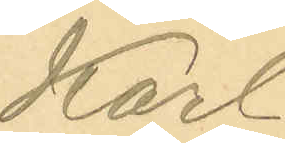Karl
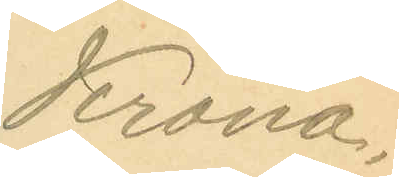Krona,
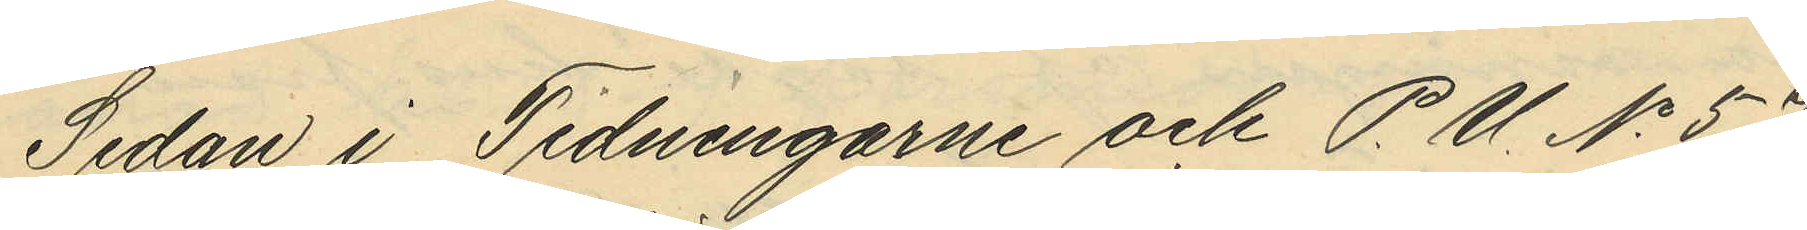Sedan i Tidningarne och P. U. No 57
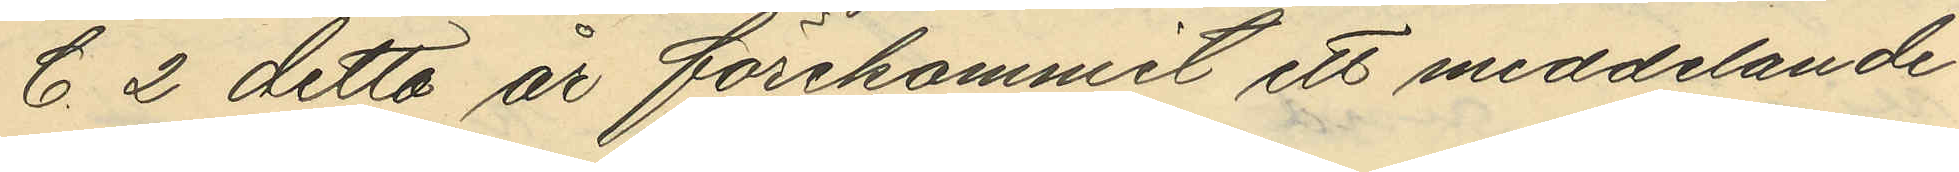C. 2 detta år förekommit ett meddelande
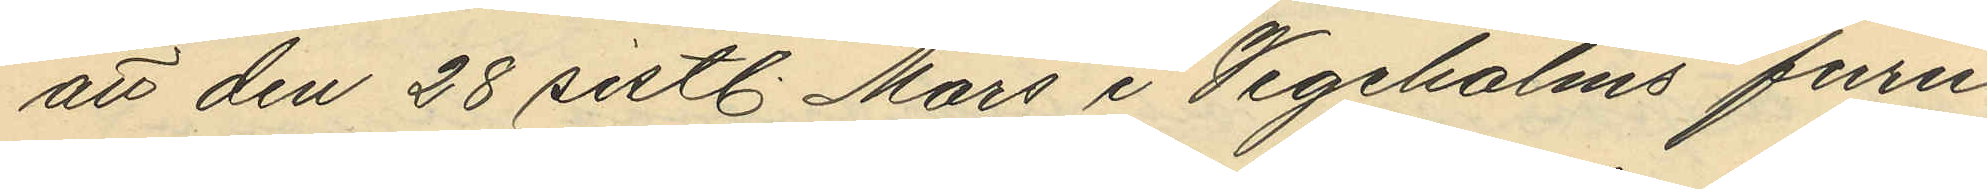att den 28 sistl. Mars i Vegeholms furu¬
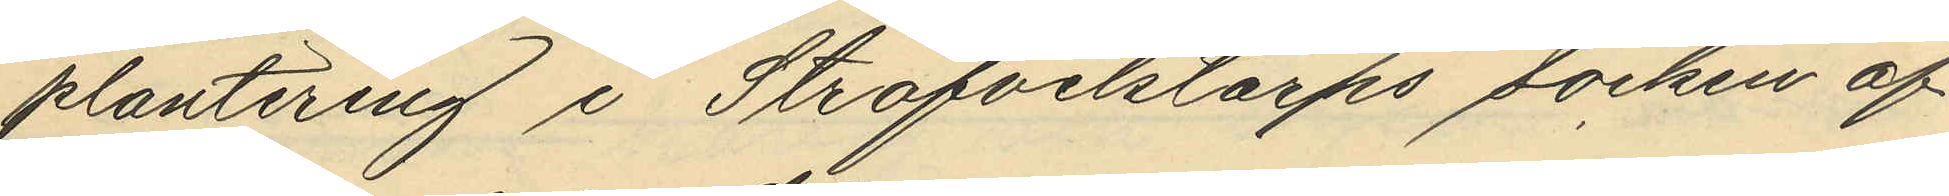plantering i Ströfvelstorps socken af
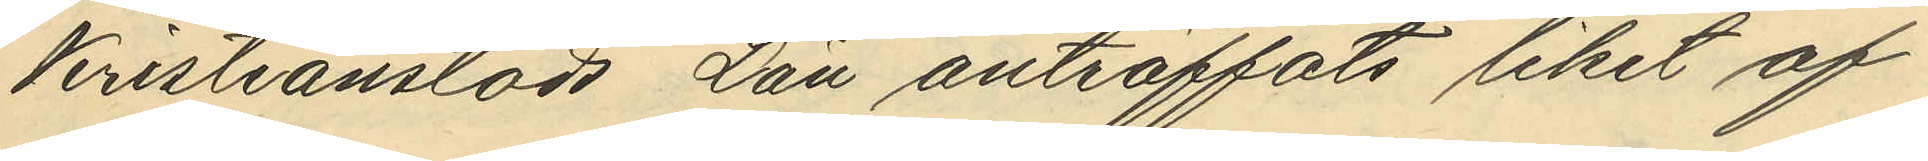Kristianstads Län anträffats liket af
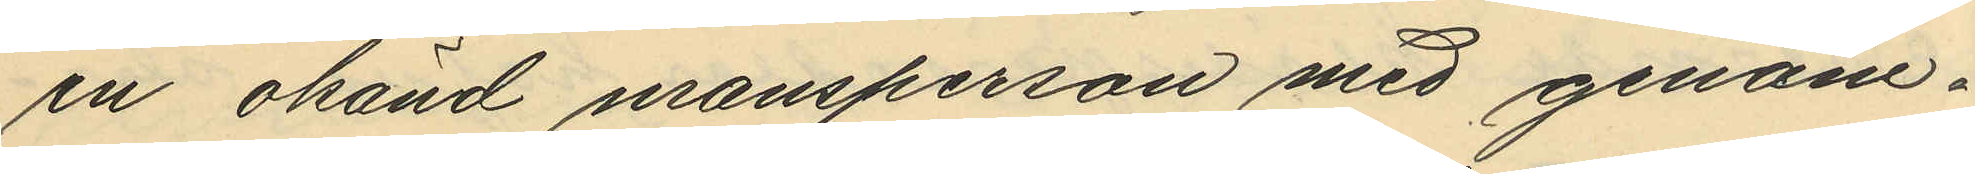en okänd mansperson med genom¬
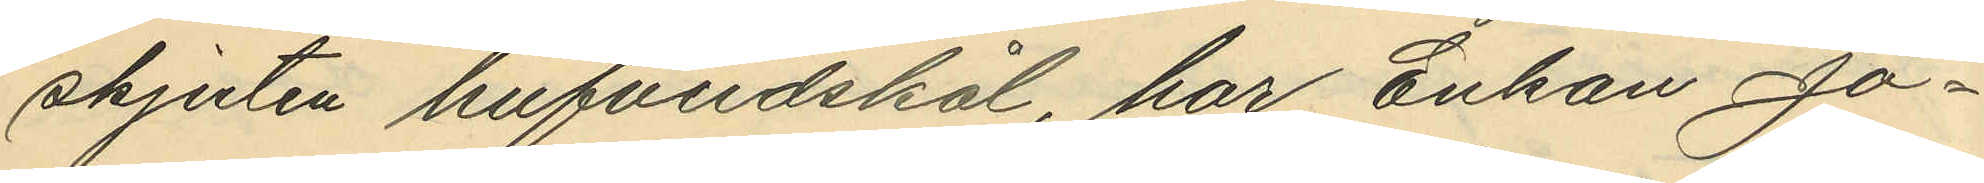skjuten hufvudskål, har Enkan Jo¬
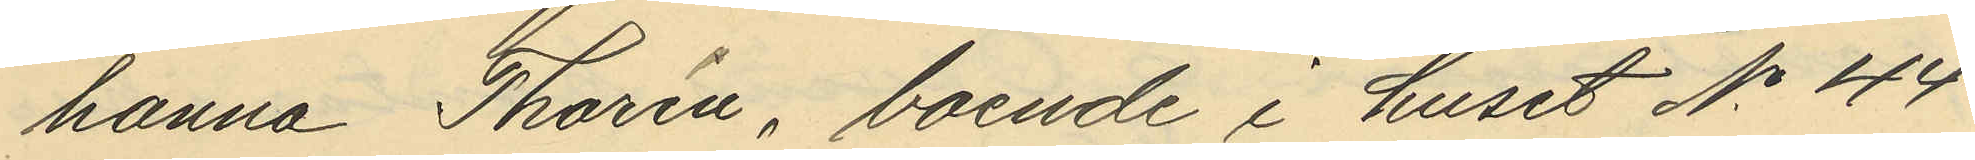hanna Thorin, boende i huset No 44
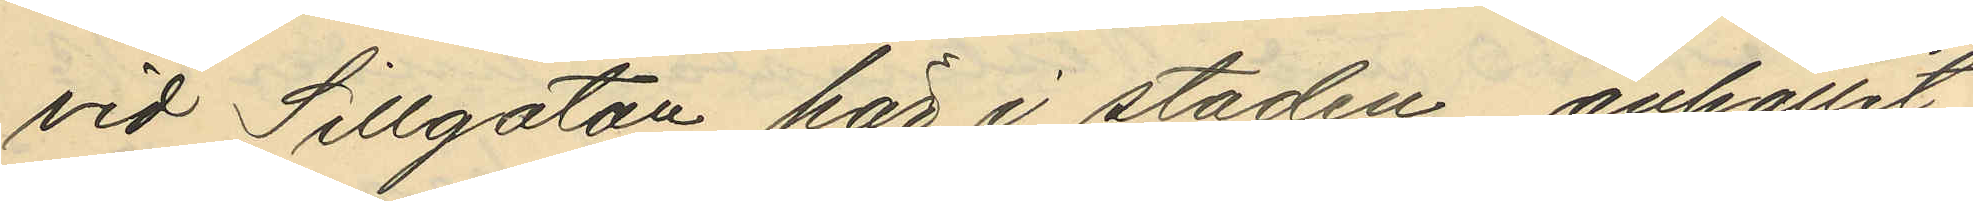vid Sillgatan här i staden, anhållit
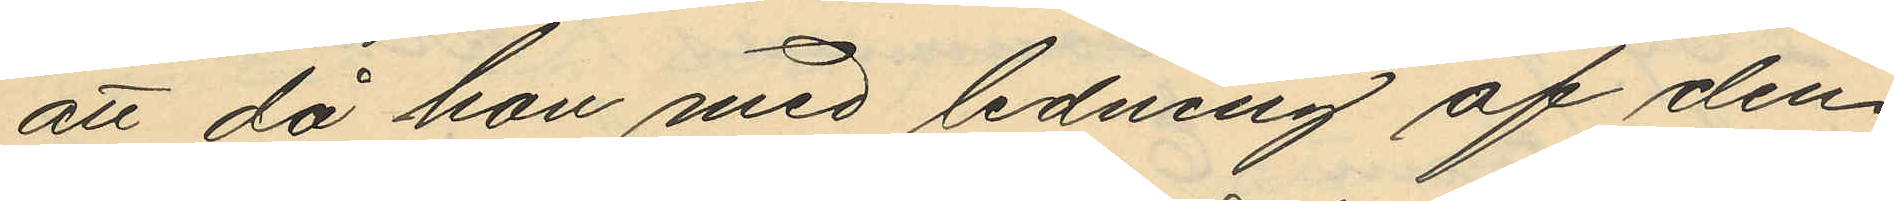att då hon med ledning af den
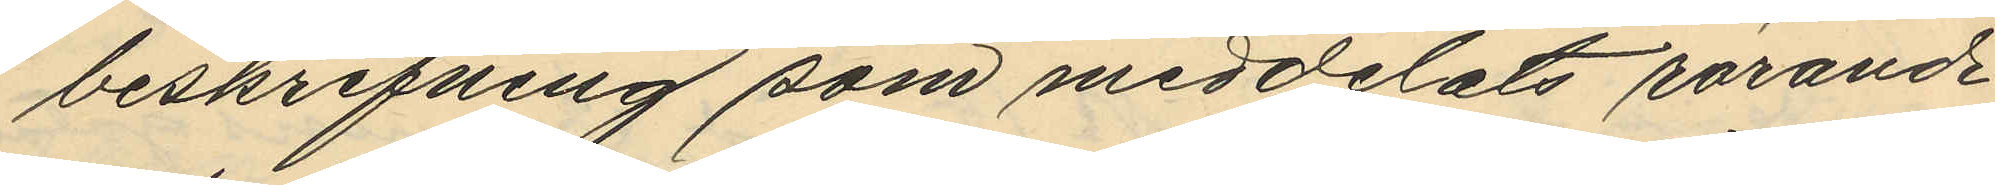beskrifning som meddelats rörande
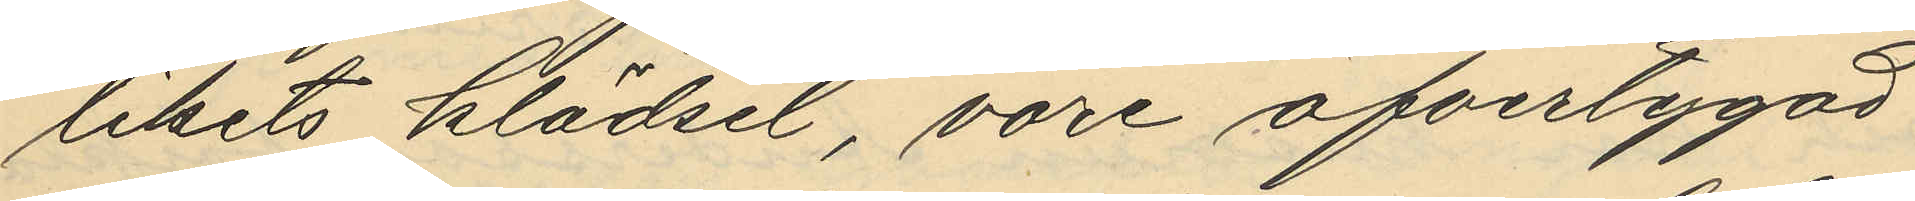likets klädsel, vore öfvertygad
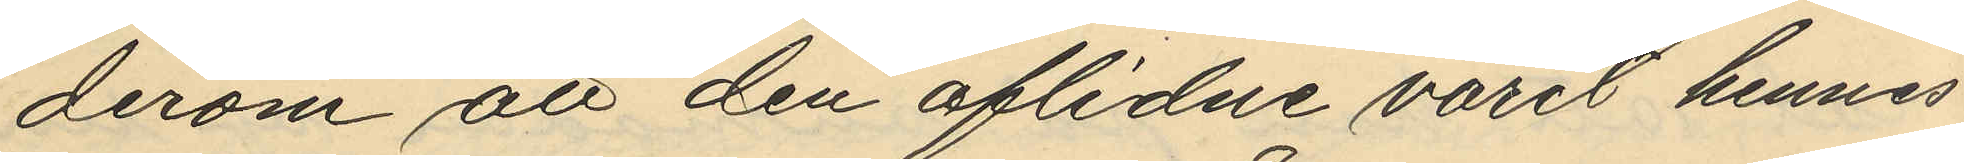derom att den aflidne varit hennes
